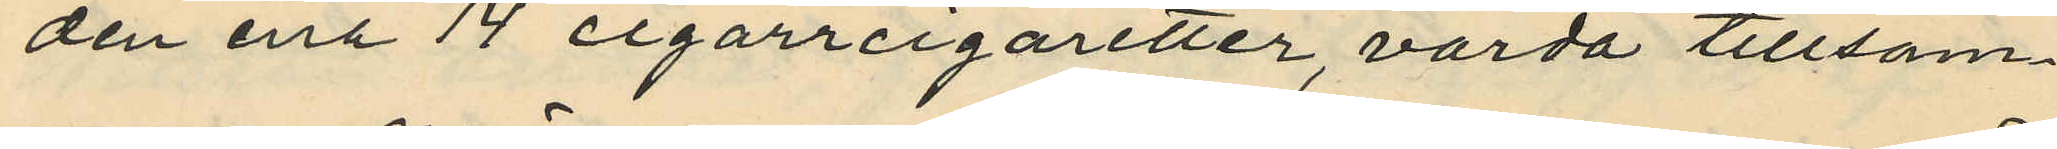den ena 14 cigarrcigaretter, värda tillsam¬
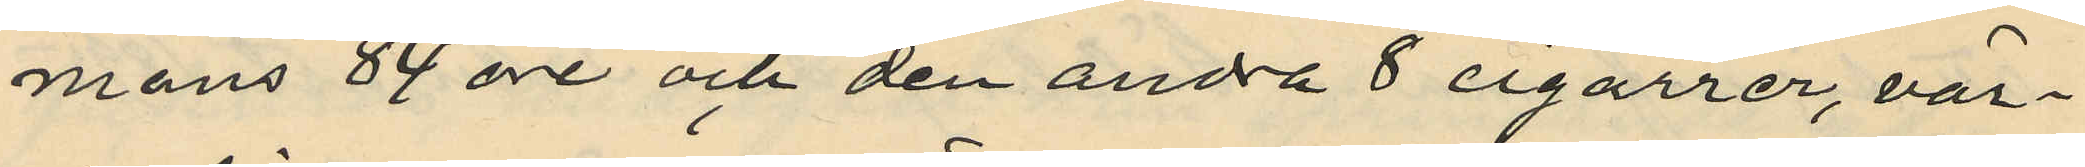mans 84 öre och den andra 8 cigarrer, vär¬
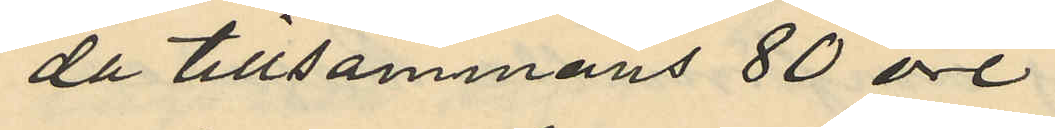da tillsammans 80 öre
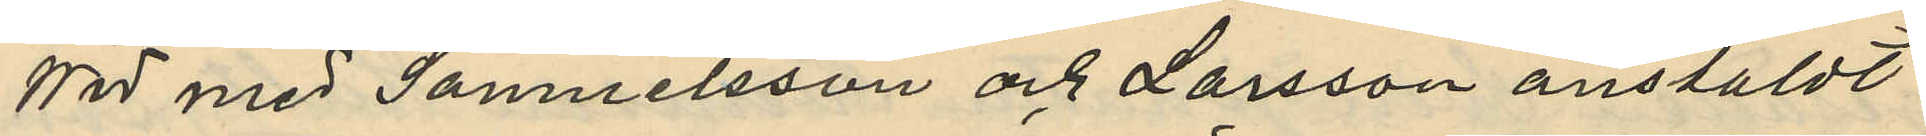Wid med Samuelsson och Larsson anstäldt
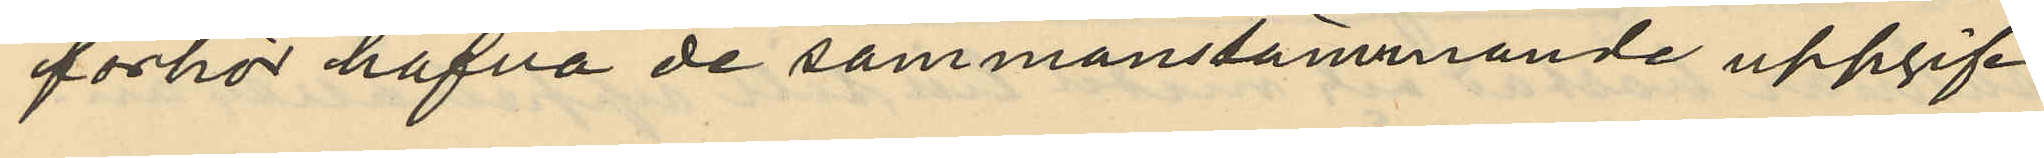förhör hafva de sammanstämmande uppgif¬
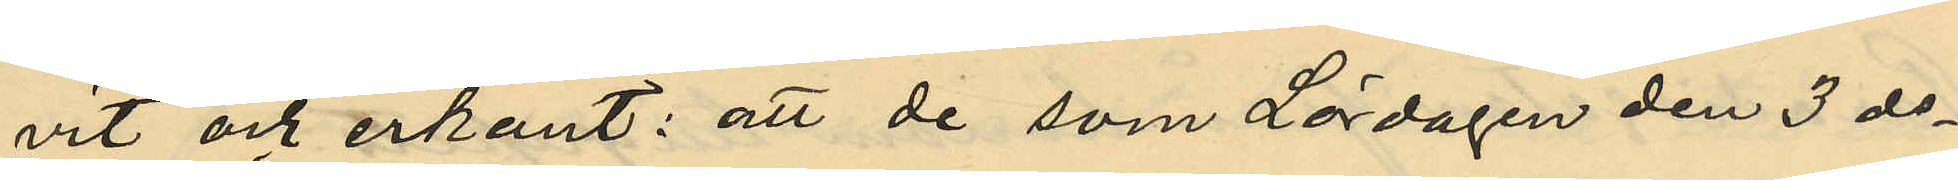vit och erkänt: att de som Lördagen den 3 ds
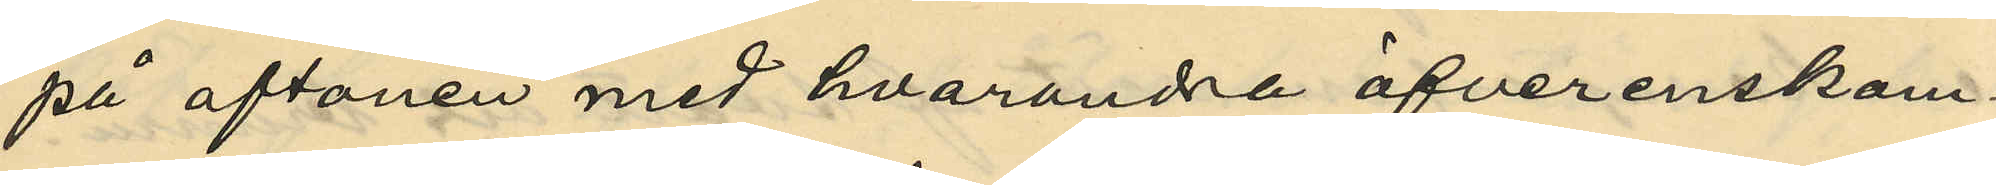på aftonen med hvarandra öfverenskom¬
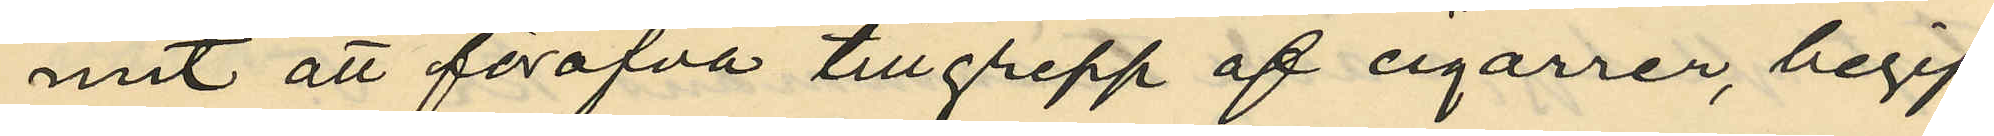mit att föröfva tillgrepp af cigarrer, begif¬
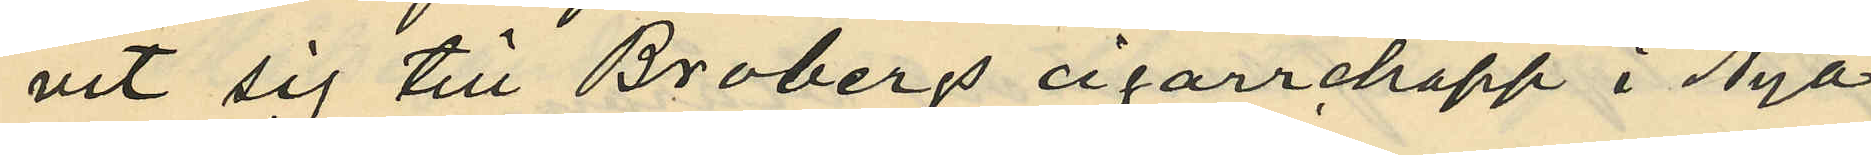vit sig till Brobergs cigarrchapp i Nya
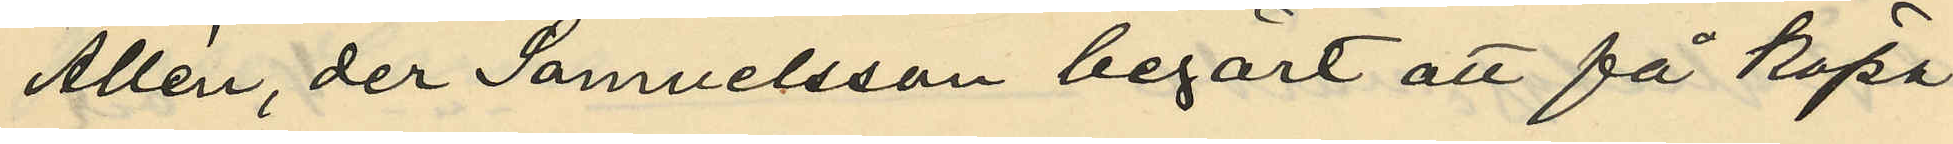Allén, der Samuelsson begärt att få köpa
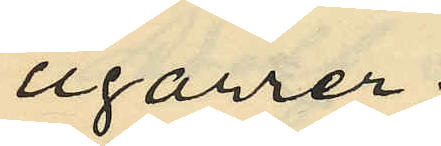cigarrer;
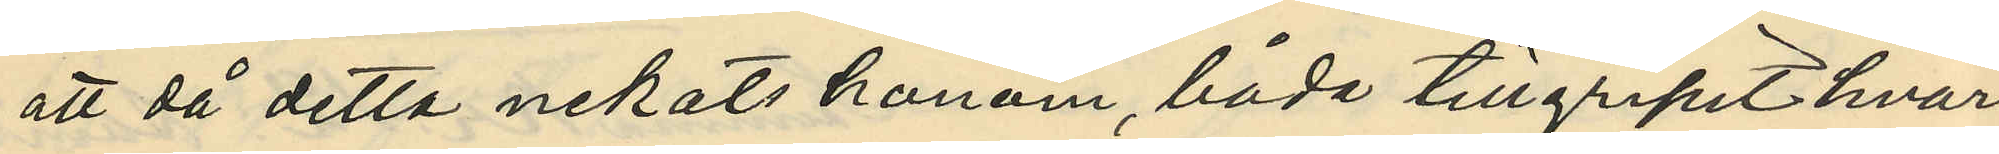att då detta nekats honom, båda tillgripit hvar
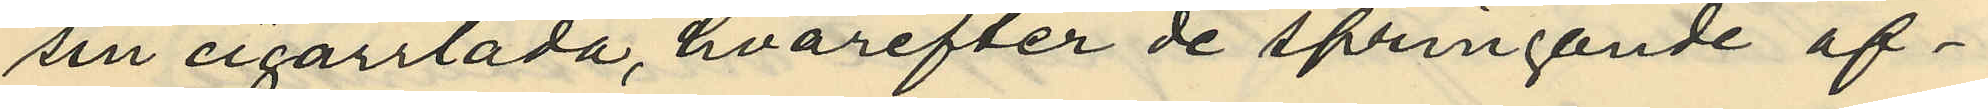sin cigarrlåda, hvarefter de springande af¬
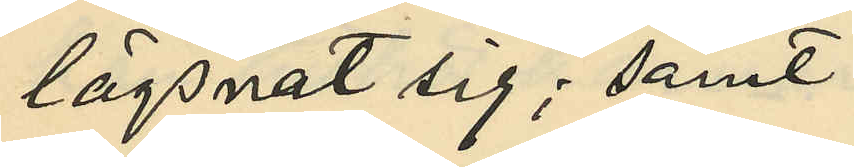lägsnat sig; samt
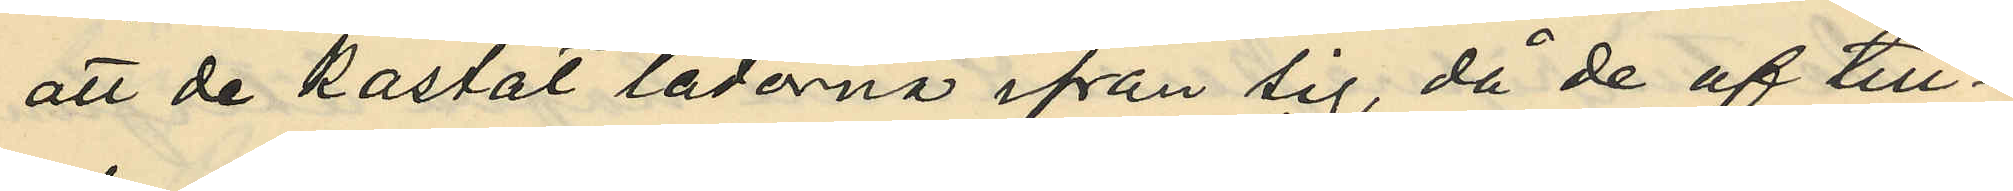att de kastat lådorna ifrån sig, då de af till¬
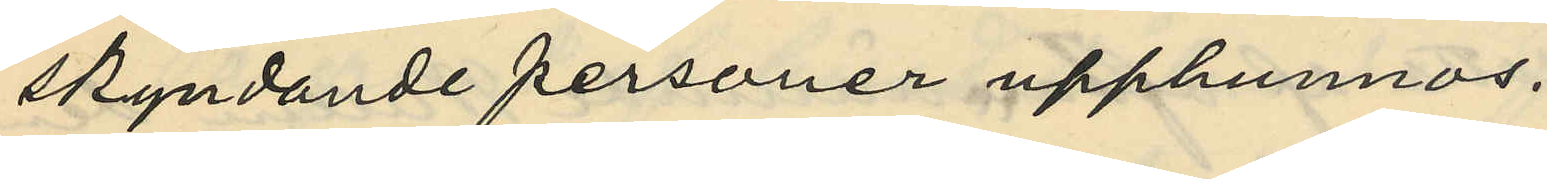skyndande personer upphunnos.
